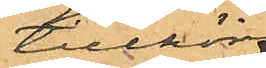tillhörig
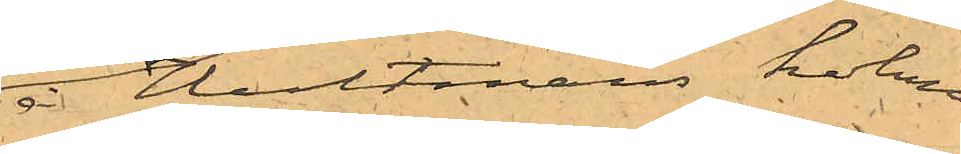å Hultmans holme
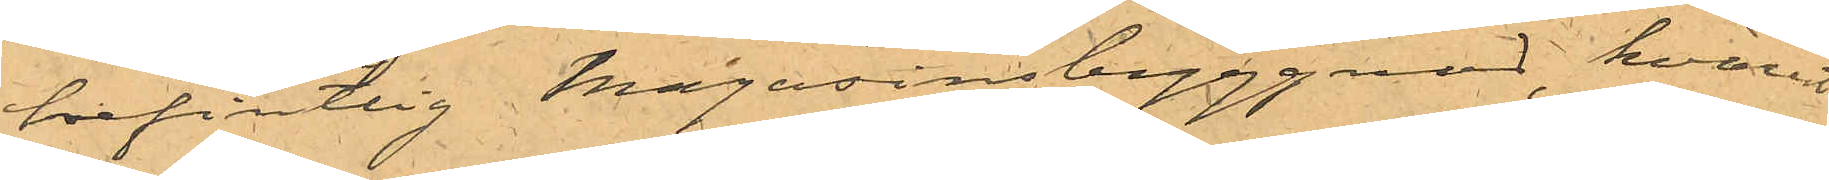befintlig Magasinsbyggnad, hvarest
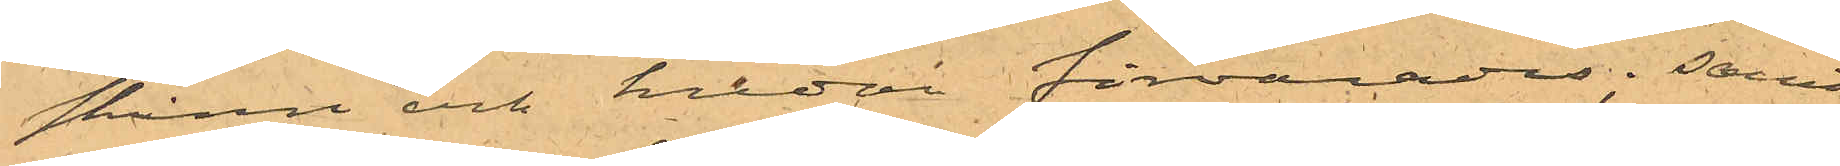skinn och hudar förvarades; samt
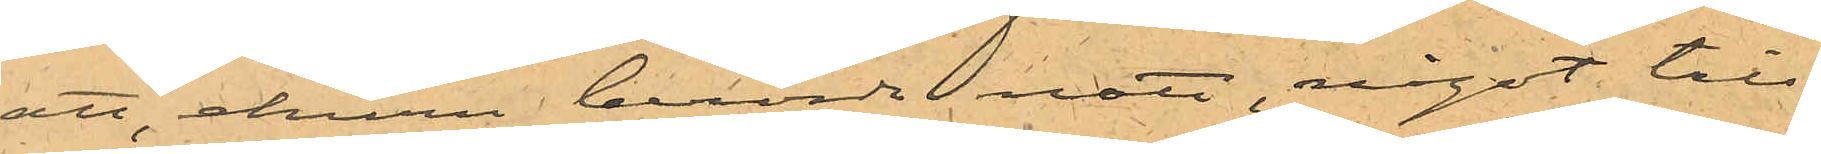att, ehuru berörde natt, något till¬
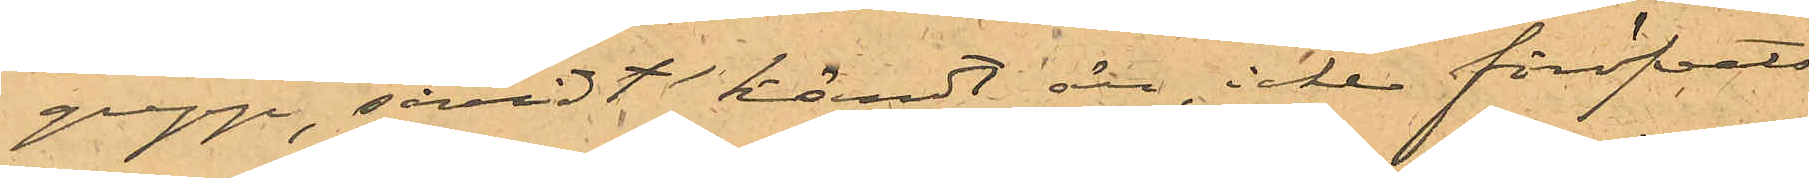grepp, såvidt kändt är, icke föröfvats
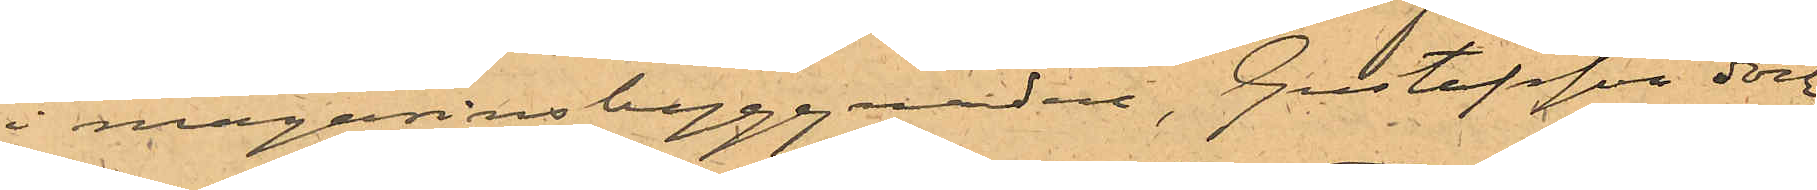i magasinsbyggnaden, Gustafsson dock
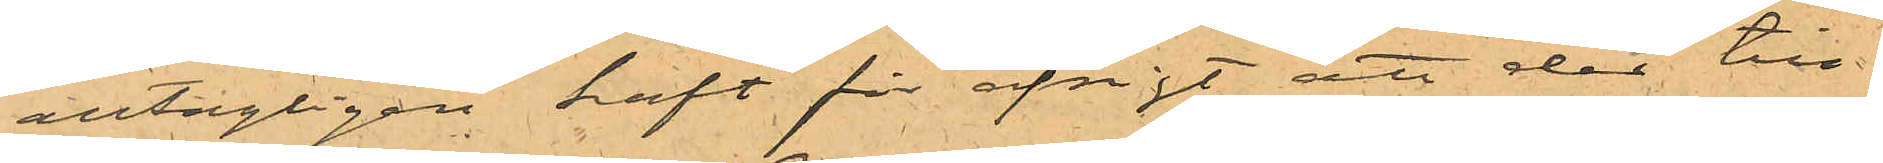antagligen haft för afsigt att der till¬
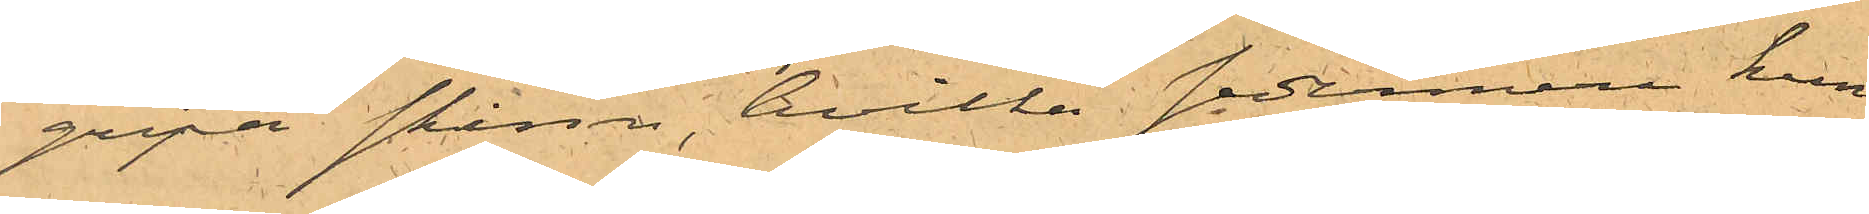gripa skinn, hvilka sedermera kun¬
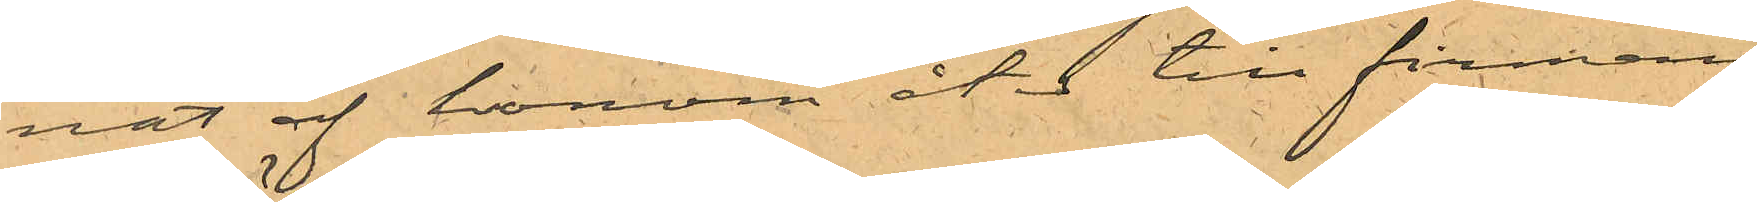nat af honom åter till firman
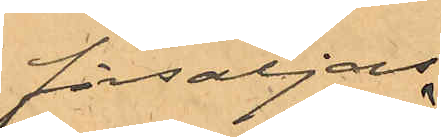försäljas.
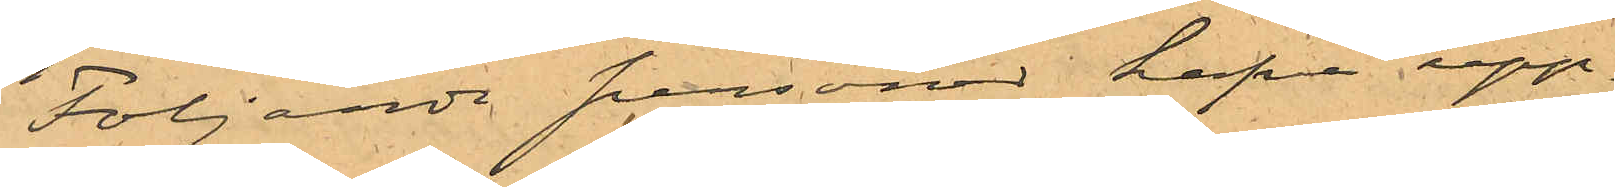Följande personen hafva upp¬
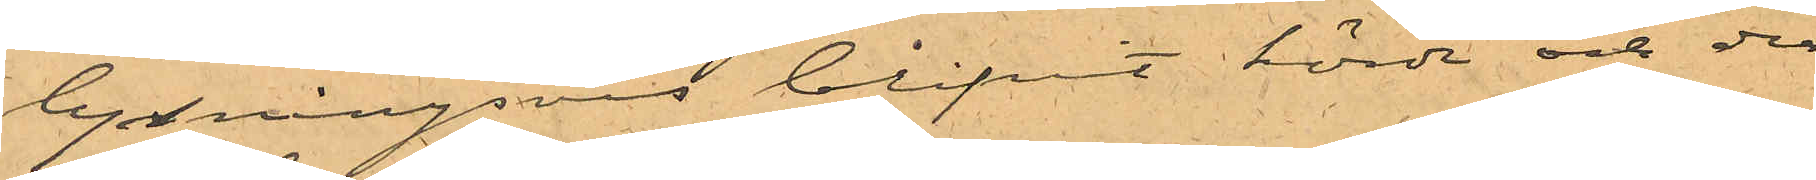lysningsvis blifvit hörde och der¬
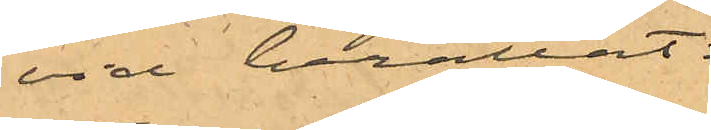vid berättat:
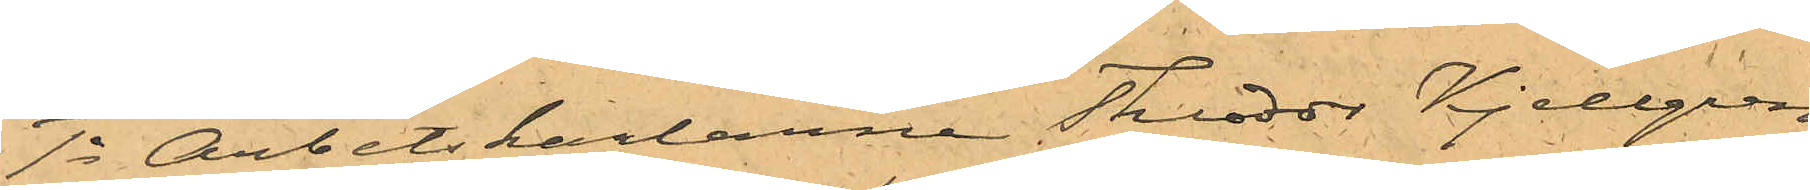1o Arbetskarlarne Theodor Kjellgren
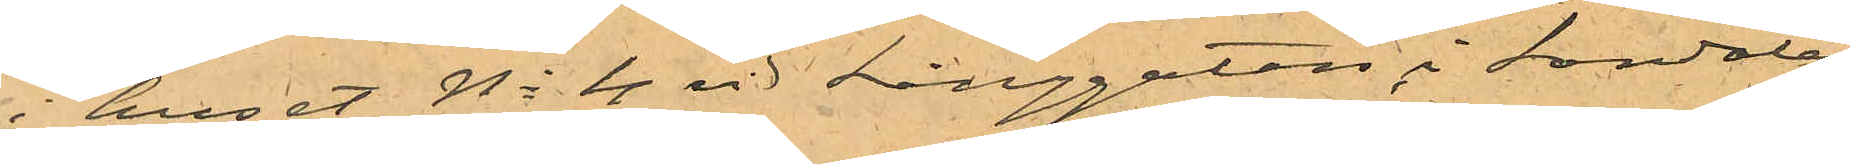i huset No 4 vid Långgatan i Landala,
